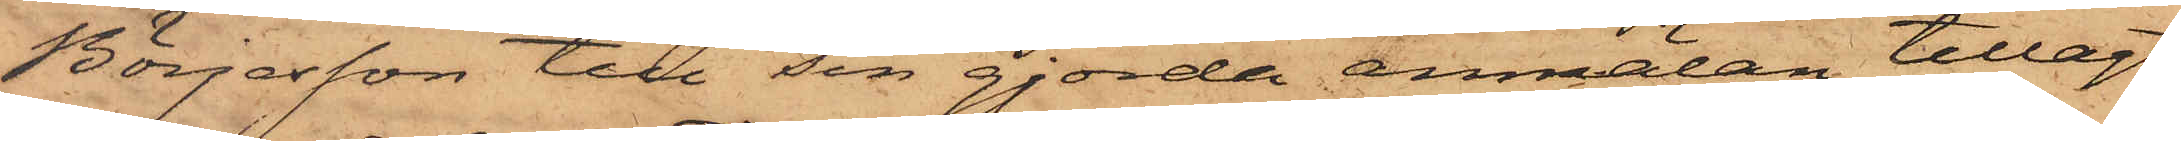Börjesson till sin gjorda anmälan tillagt
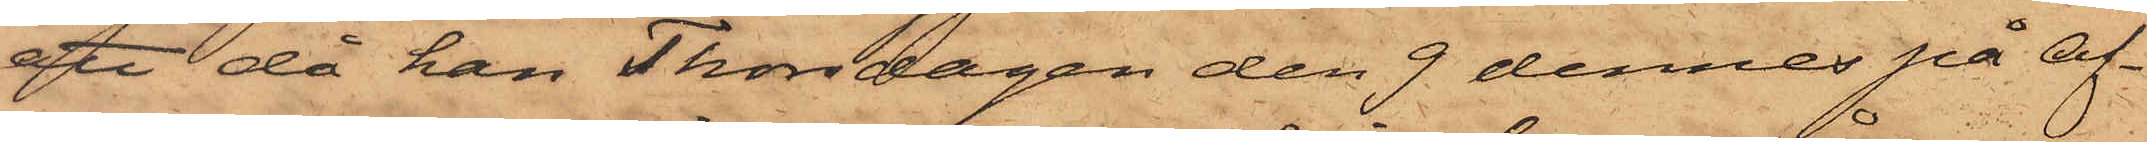att då han Thorsdagen den 9 dennes på af¬
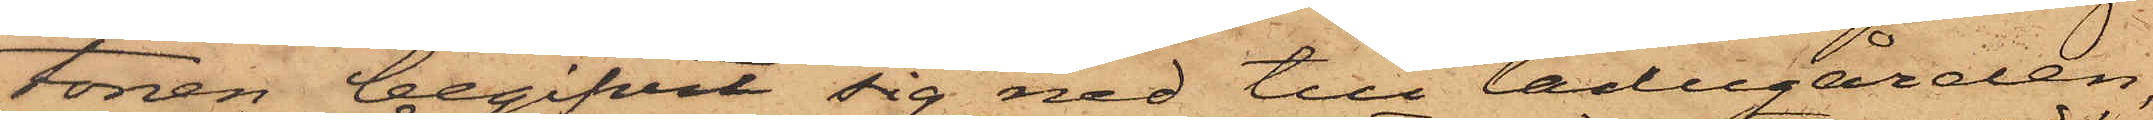tonen begifvit sig ned till ladugården,
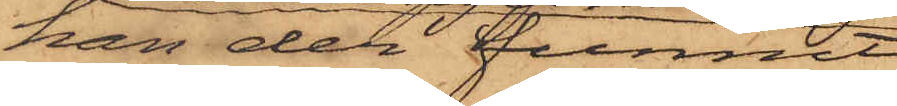han der funnit
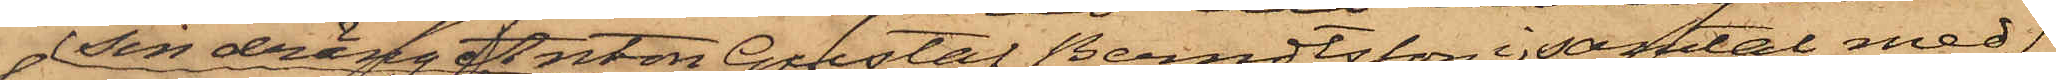sin dräng Anton Gustaf Berndtsson i samtal med
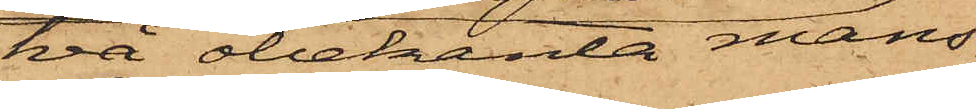två obekanta mans¬
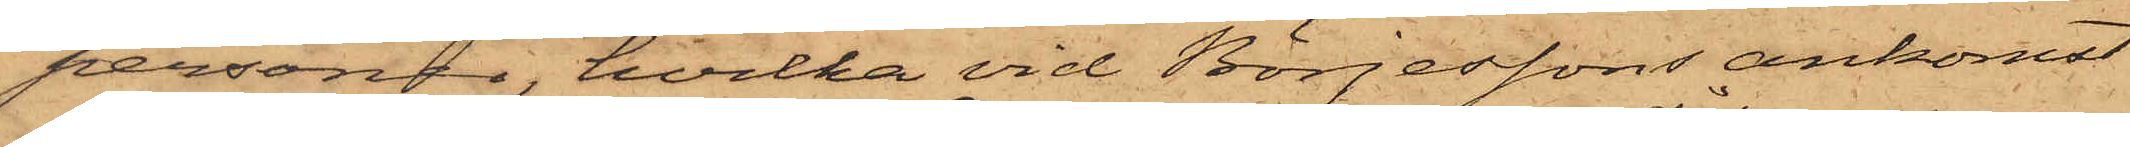personer, hvilka vid Börjessons ankomst
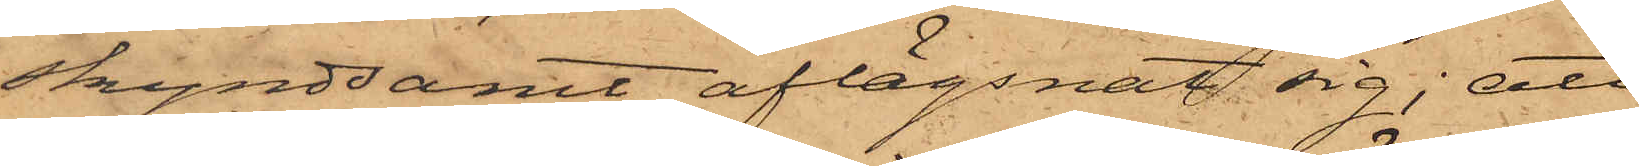skyndsamt aflägsnat sig; att
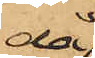då
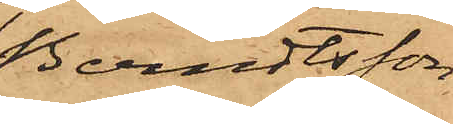Berndtsson
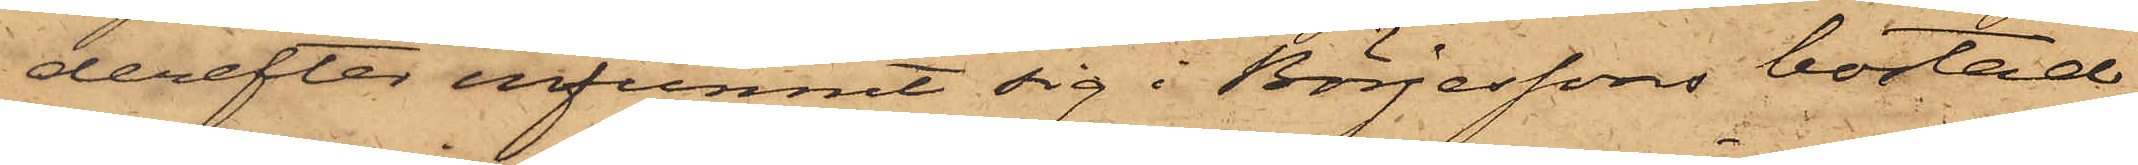derefter infunnit sig i Börjessons bostad,
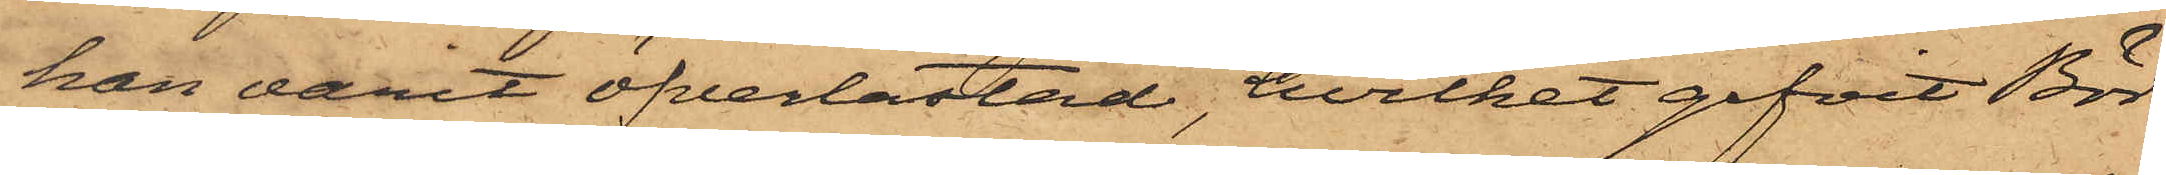han varit öfverlastad, hvilket gifvit Bör¬
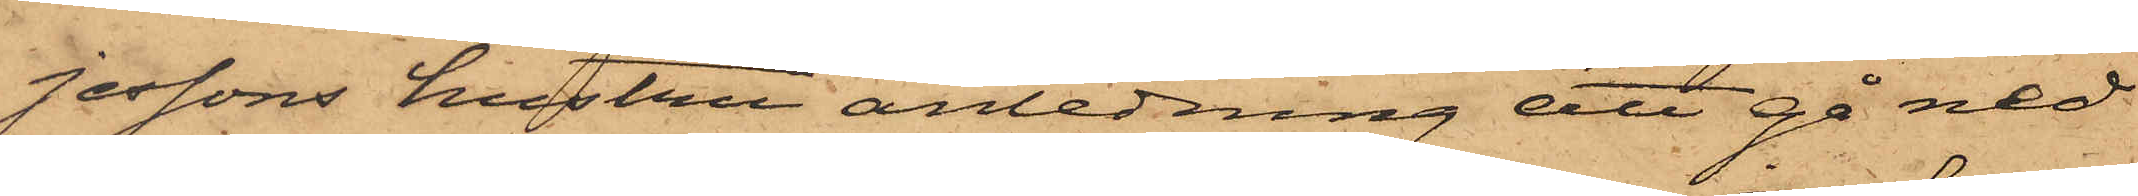jessons hustru anledning att gå ned
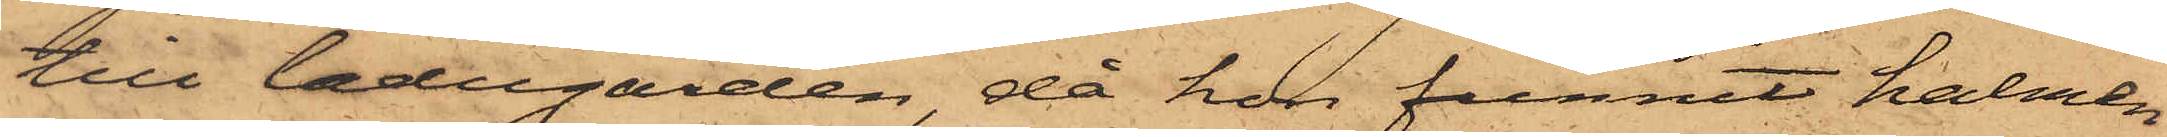till ladugården, då hon funnit halmen
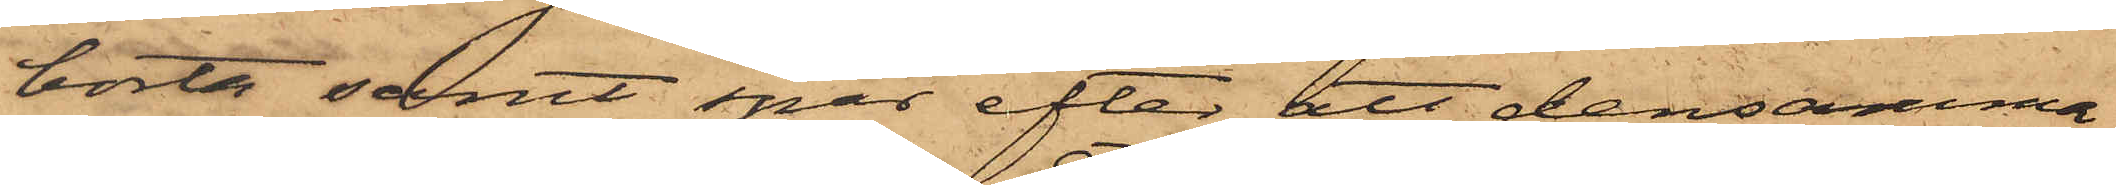borta samt spår efter att densamma
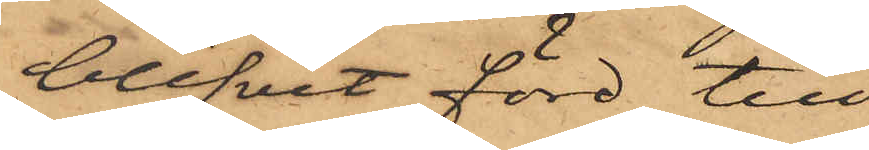blifvit förd till
